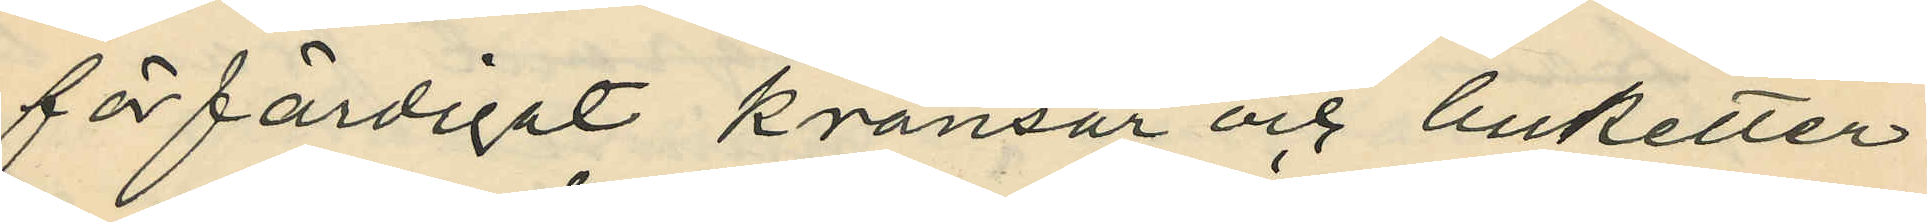förfärdigat kransar och buketter
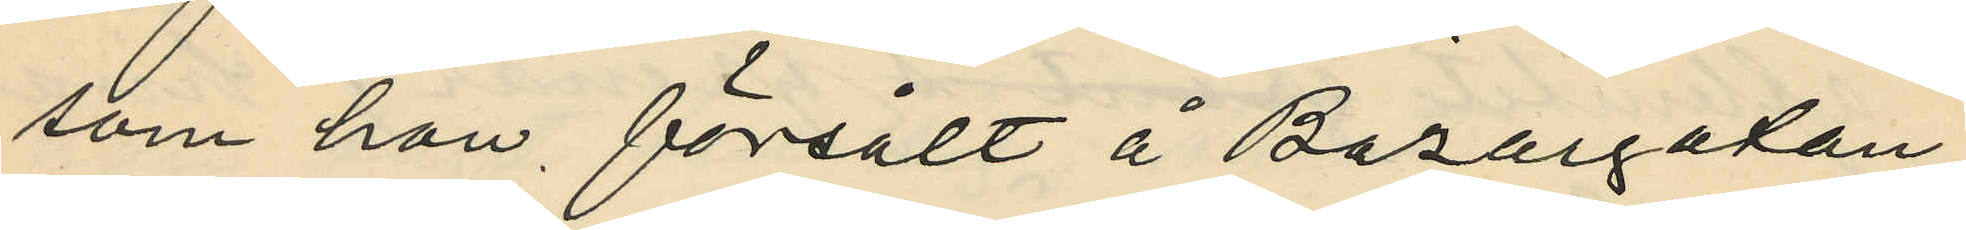som hon försålt å Bazargatan;
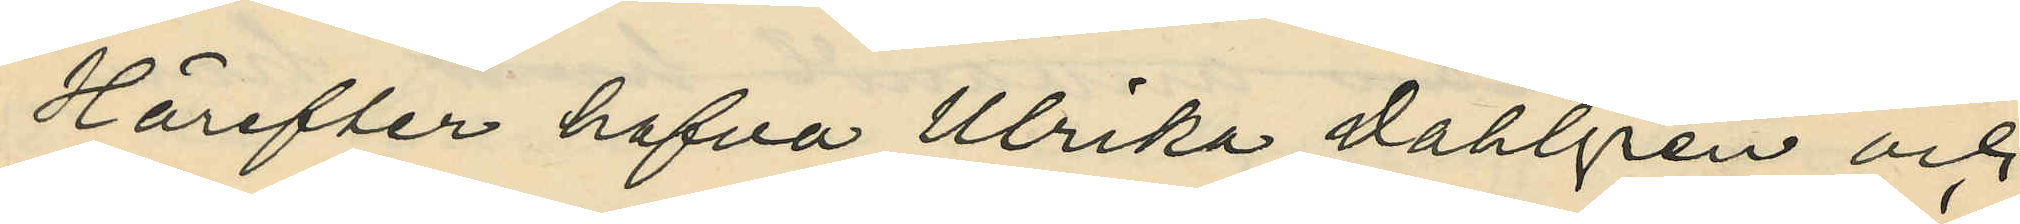Härefter hafva Ulrika Dahlgren och
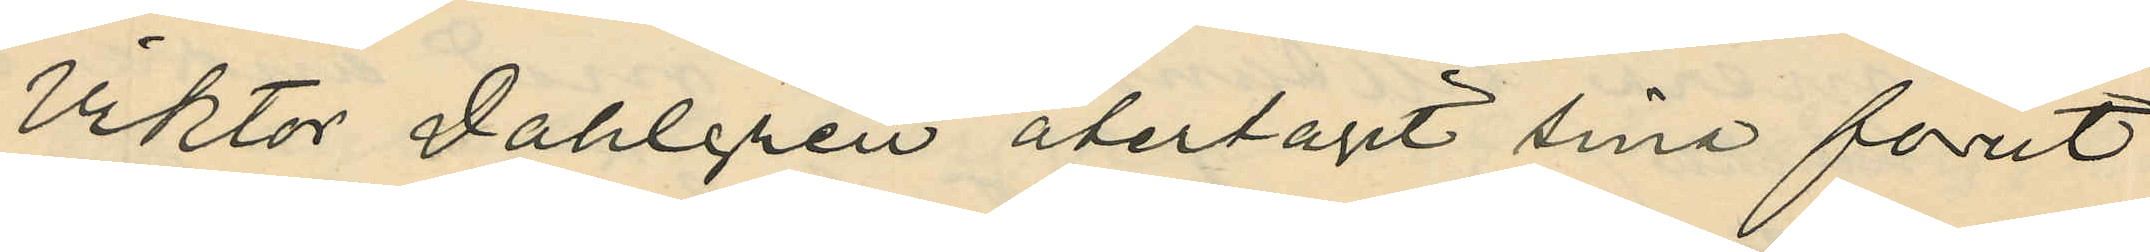Viktor Dahlgren återtagit sina förut
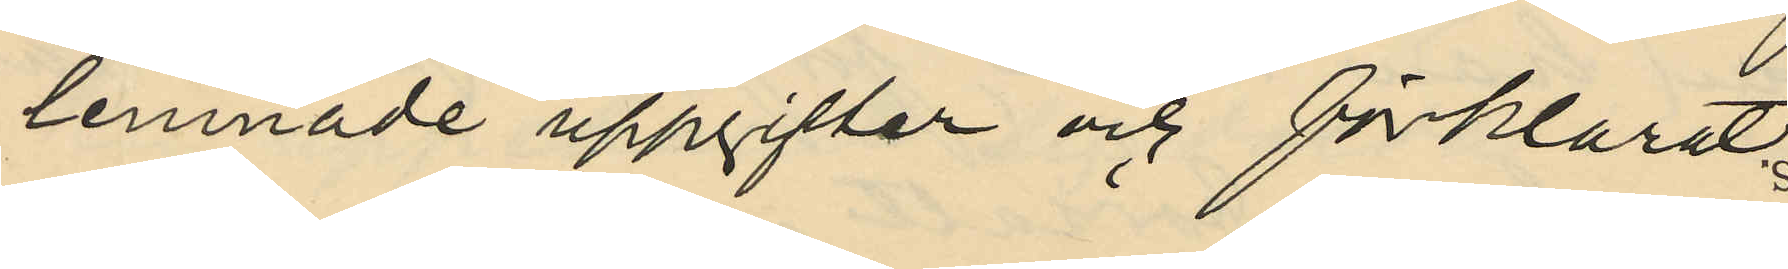lemnade uppgifter och förklarat;
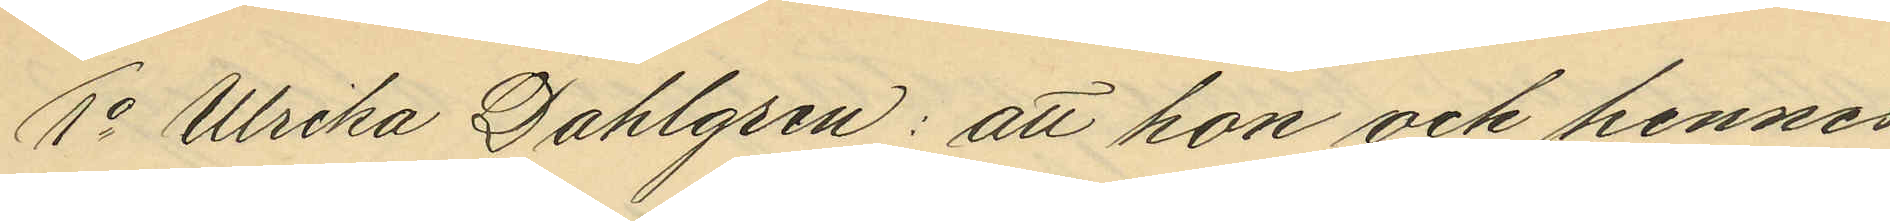1o Ulrika Dahlgren: att hon och hennes
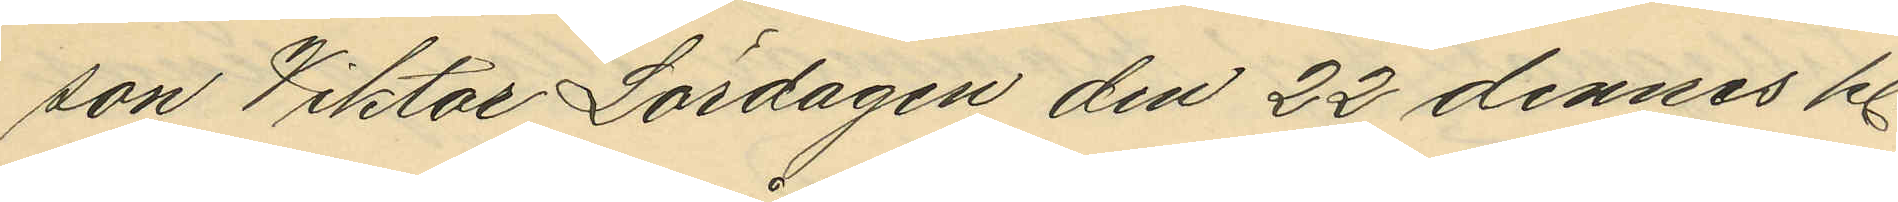son Viktor Lördagen den 22 dennes kl.
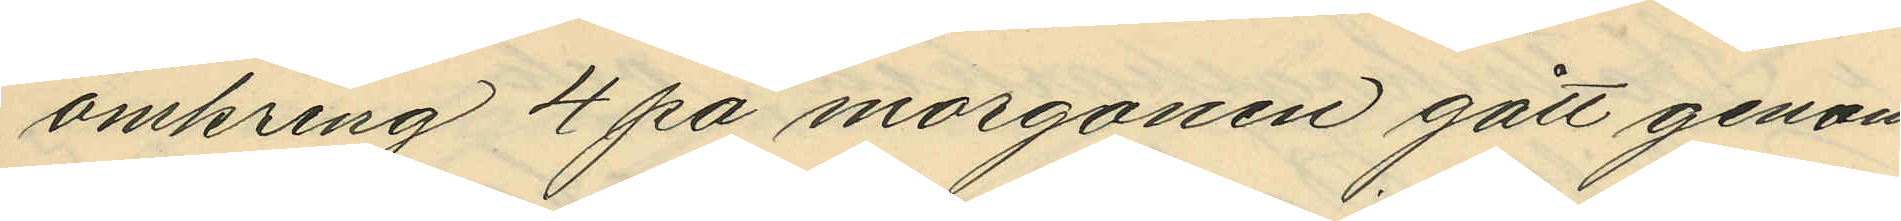omkring 4 på morgonen gått genom
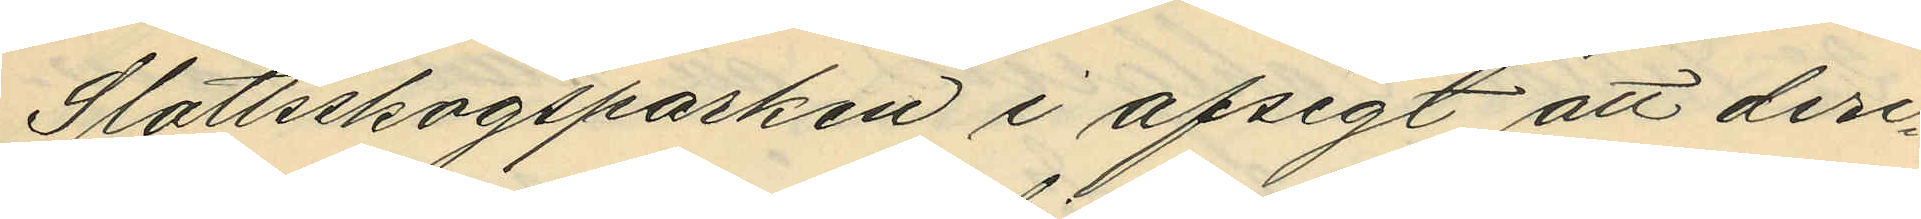Slottsskogsparken i afsigt att deri¬
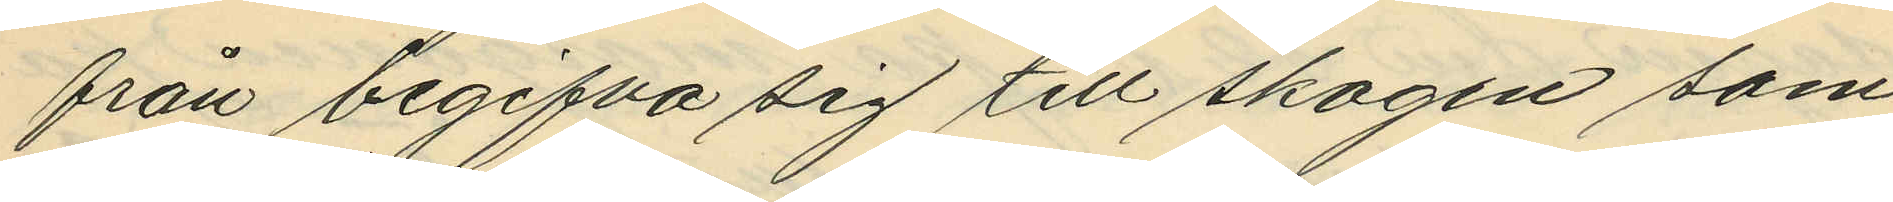från begifva sig till skogen som
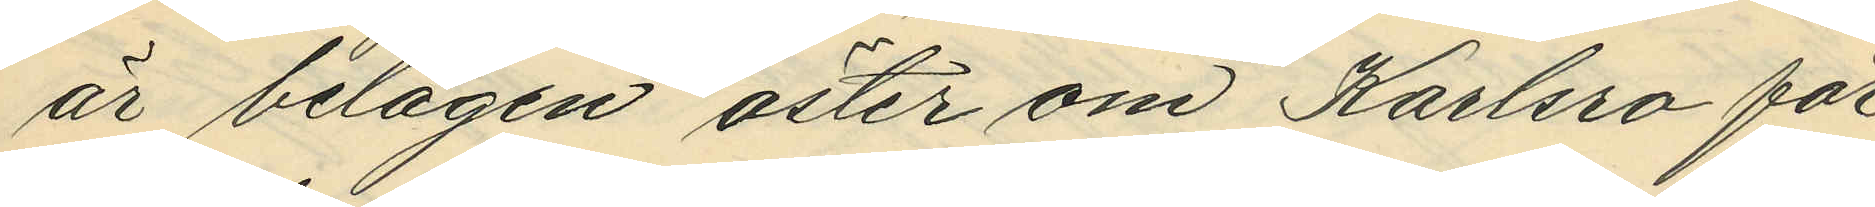är belägen öster om Karlsro för
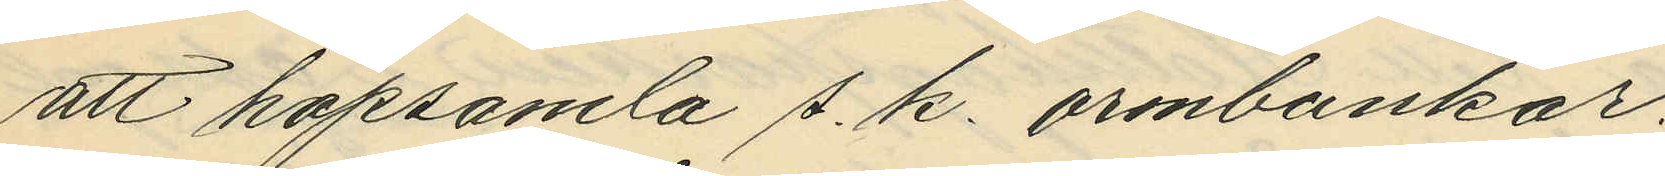att hopsamla s. k. ormbunkar;
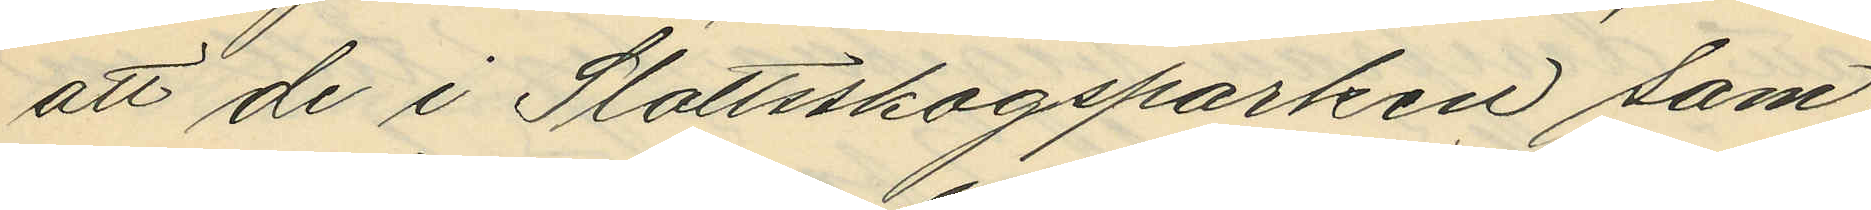att de i Slottsskogsparken sam¬
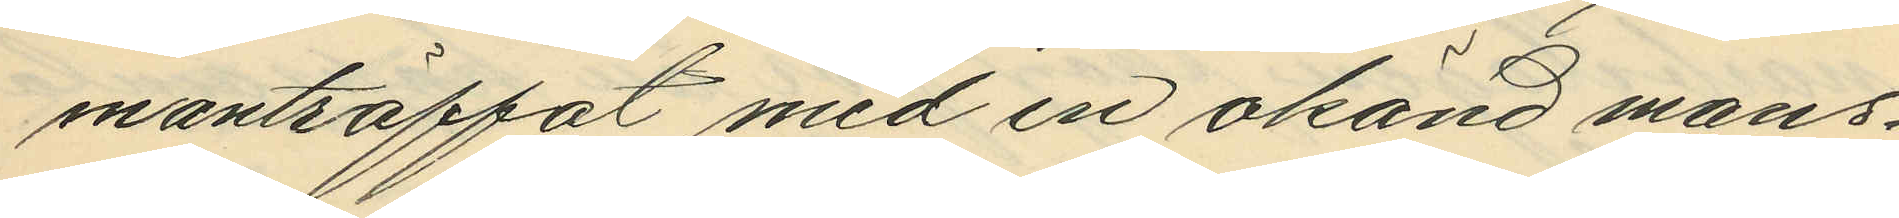manträffat med en okänd mans¬
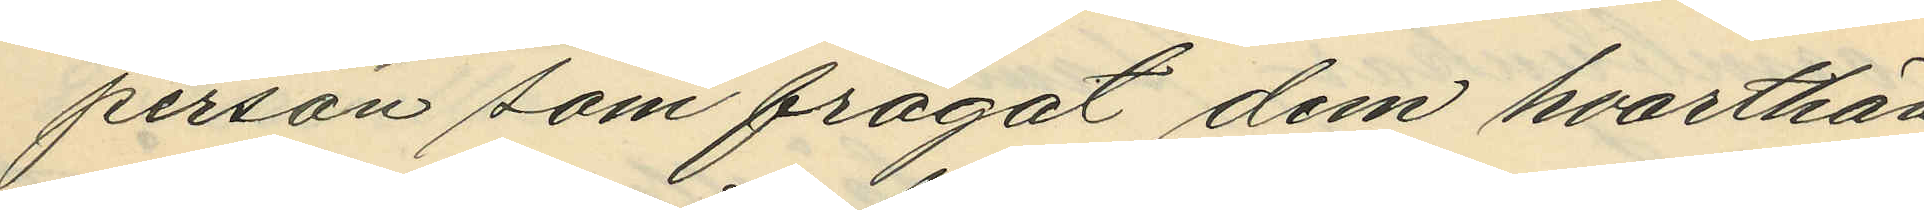person som frågat dem hvarthän
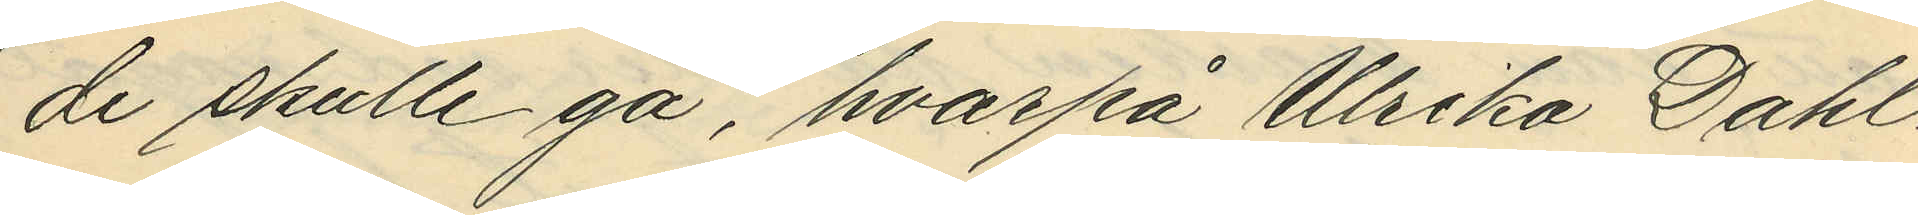de skulle gå, hvarpå Ulrika Dahl¬
